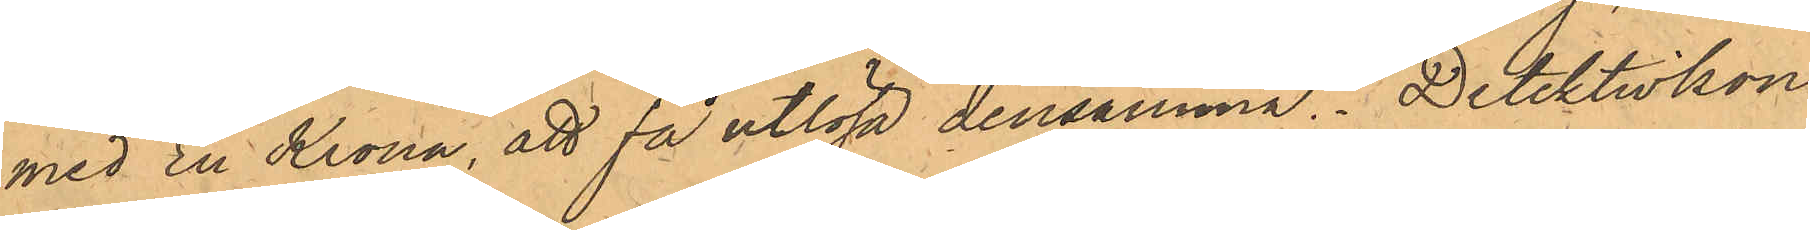med En Krona, att få utlösa densamma. Detektivkon¬
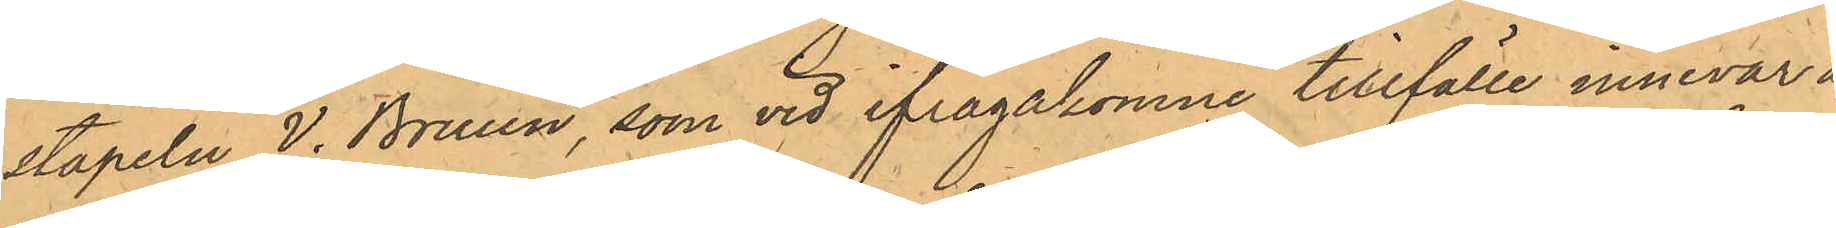stapeln V. Bruun, som vid ifrågakomne tillfälle innevar å
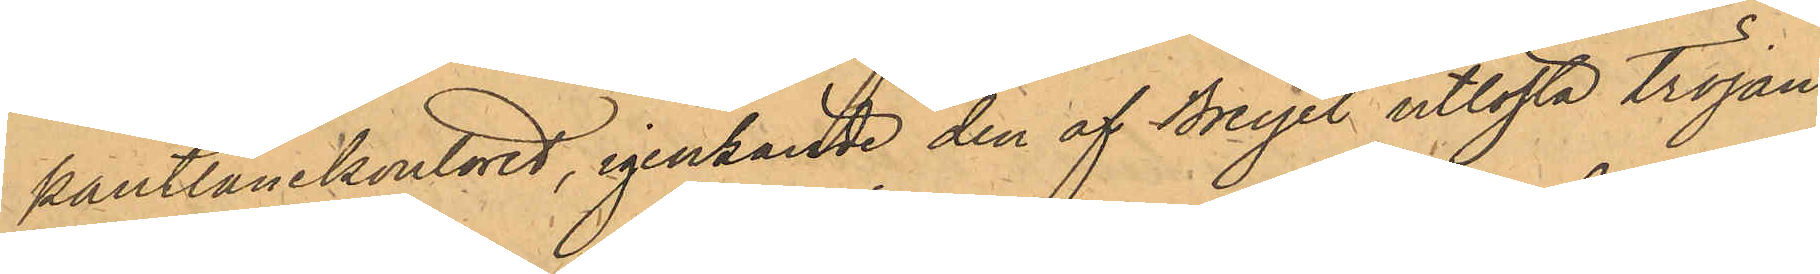pantlånekontoret, igenkände den af Breyel utlösta tröjan
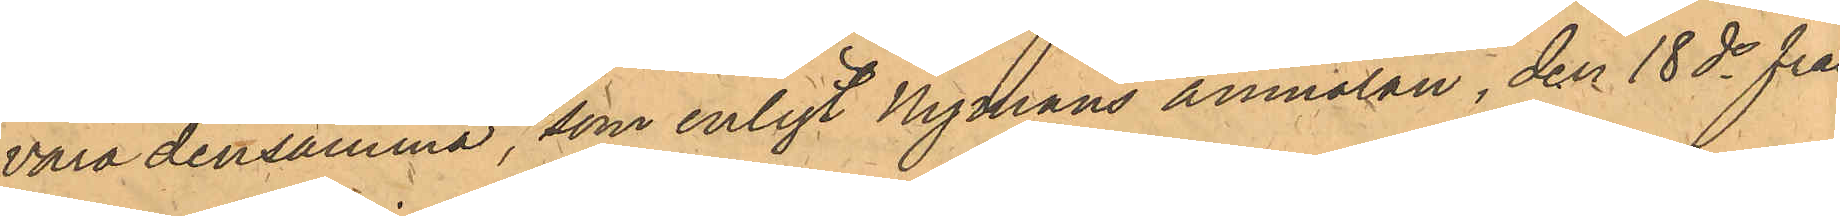vara densamma, som enligt Nymans anmälan, den 18de från
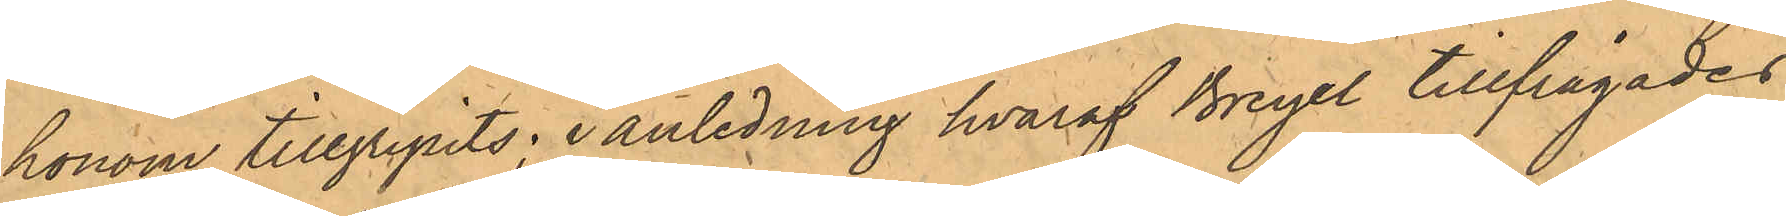honom tillgripits; i anledning hvaraf Breyel tillfrågades
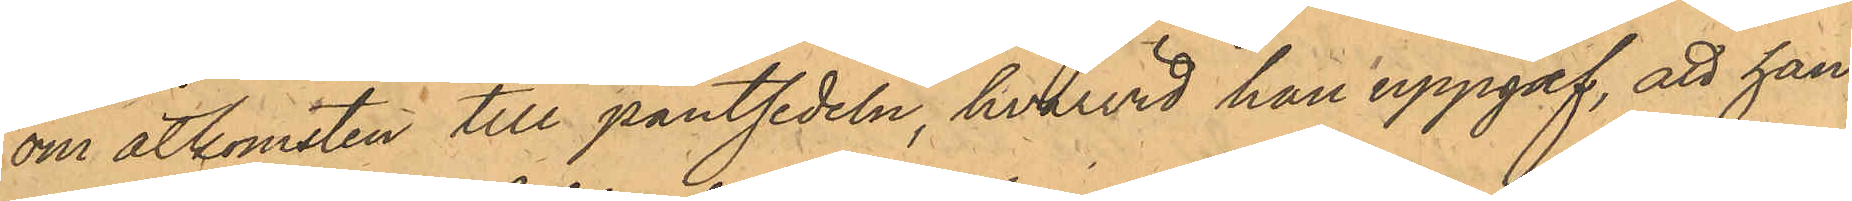om åtkomsten till pantsedlen, hvarvid han uppgaf, att han
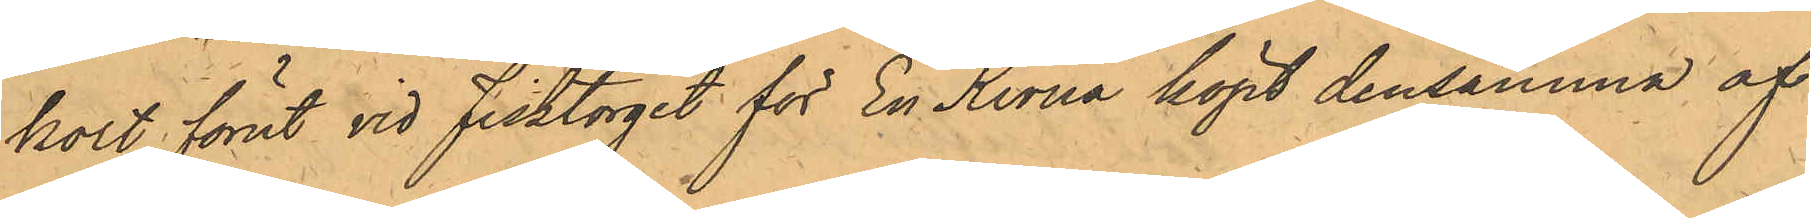kort förut vid Fisktorget för En Krona köpt densamma af
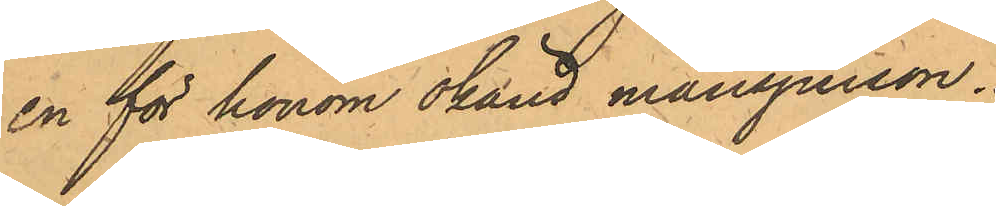en för honom okänd mansperson.
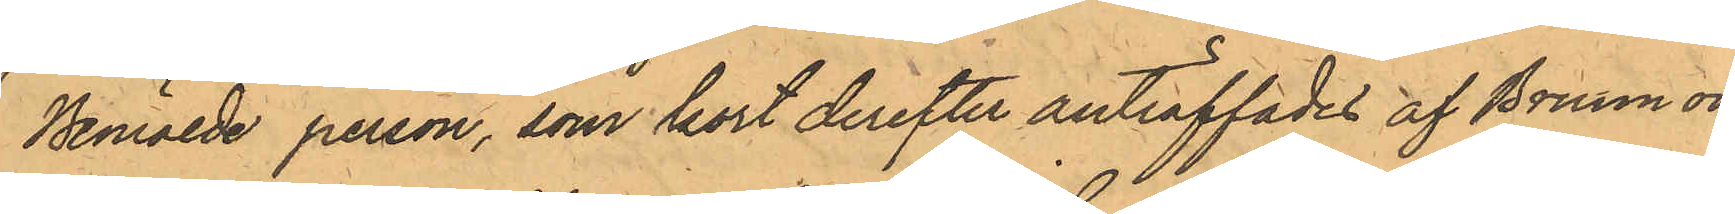Berörde person, som kort derefter anträffades af Bruun och
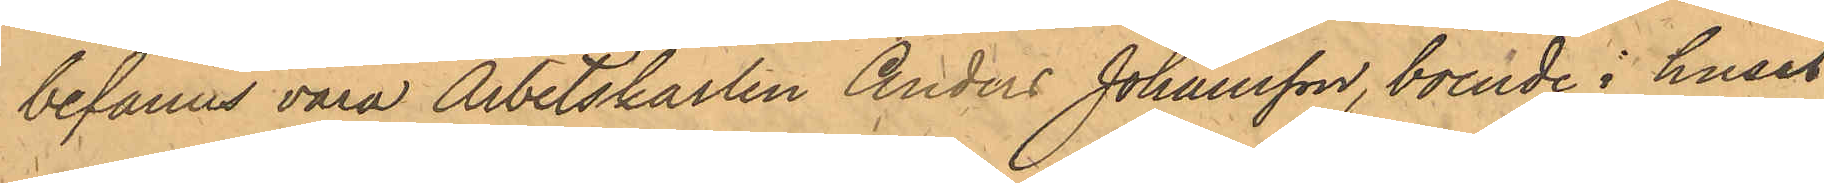befanns vara Arbetskarlen Anders Johansson, boende i huset
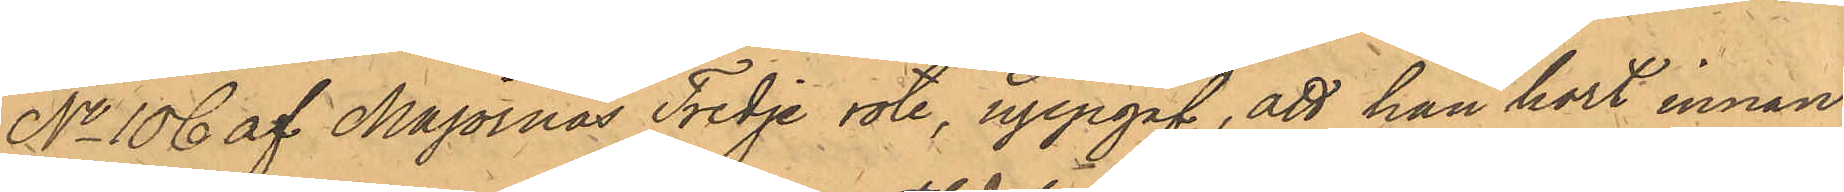No 106 af Majornas Tredje rote, uppgaf, att han kort innan
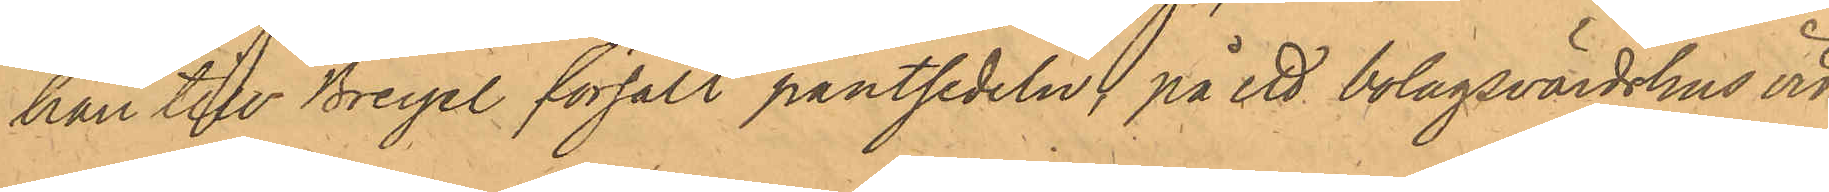han till Breyel försålt pantsedeln på ett bolagsvärdshus vid
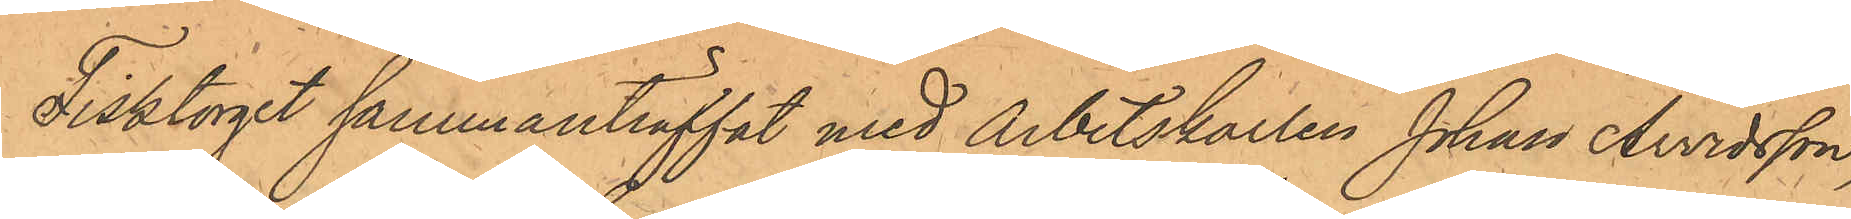Fisktorget sammanträffat med arbetskarlen Johan Arvidsson,
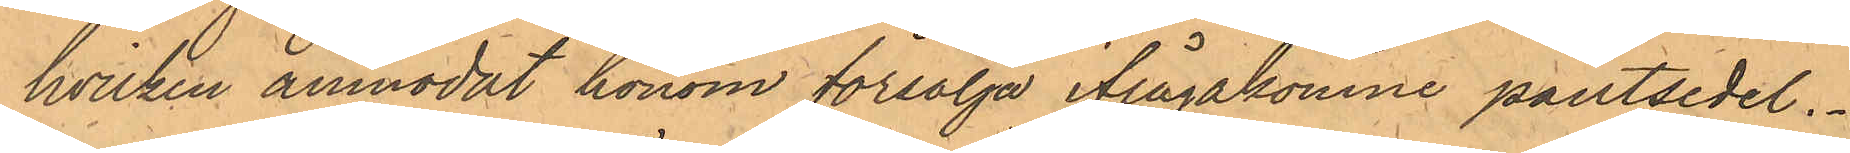hvilken anmodat honom försälja ifrågakomne pantsedel.
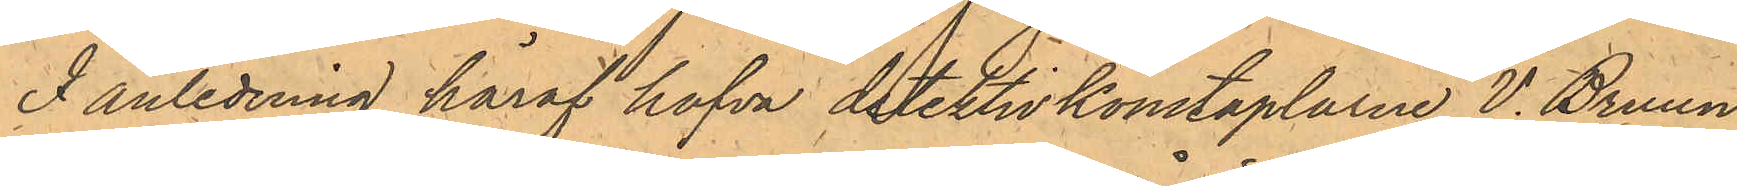I anledning häraf hafva detektivkonstaplarne V. Bruun
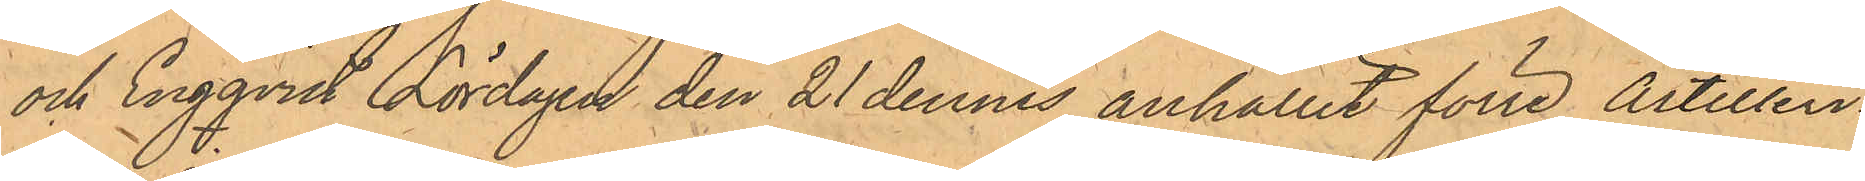och Engqvist Lördagen den 21 dennes anhållit förre Artilleri¬
